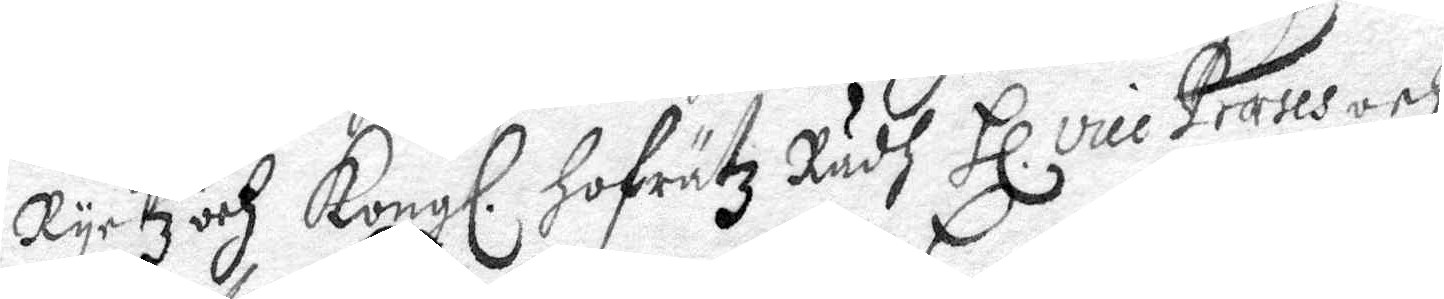Ryckz och Kongl. Hofrätz Rådh Hl. vice Præses och
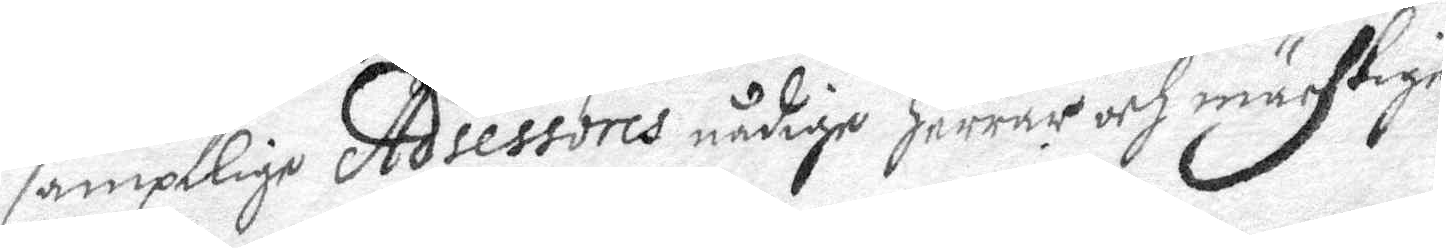samptlige Adsessores nådige Herrar och mächtige
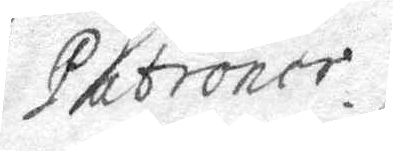Patroner.
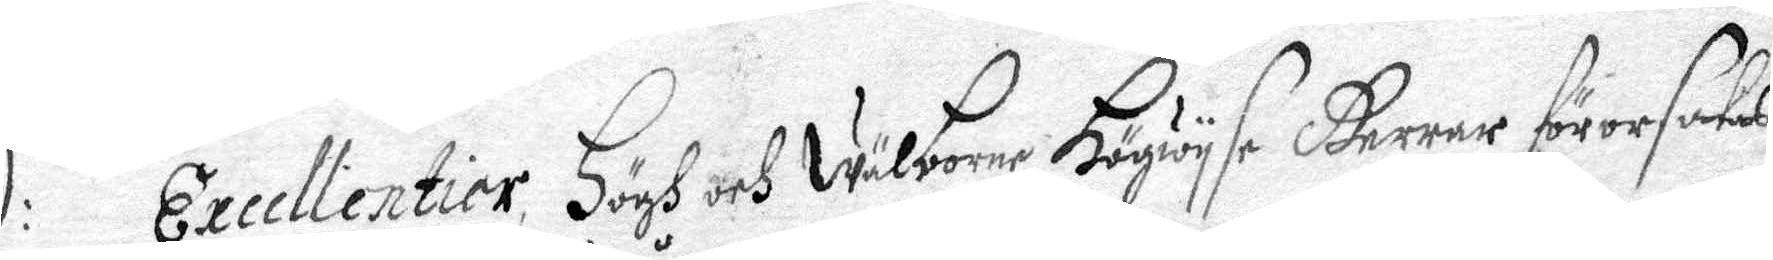ED:ds Excellentier, Högh och Wälborne Högwyse Herrar förorsakas
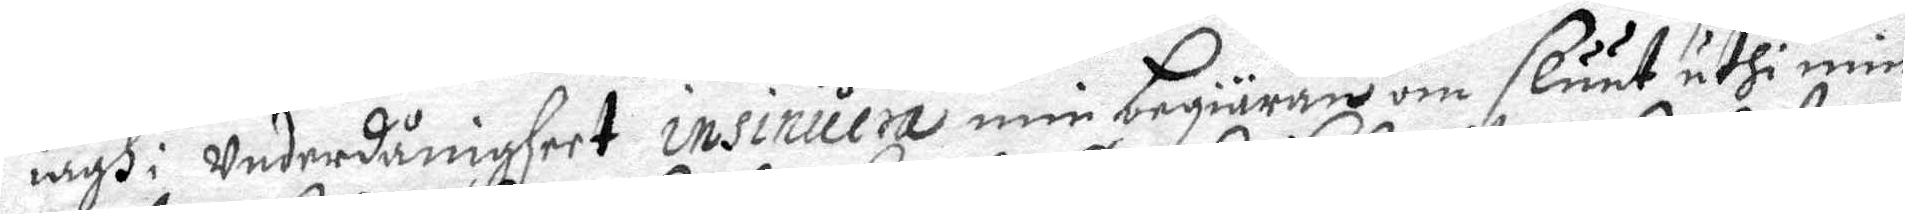iagh i Underdånigheet insinuera min begiäran om Sluut uthi min
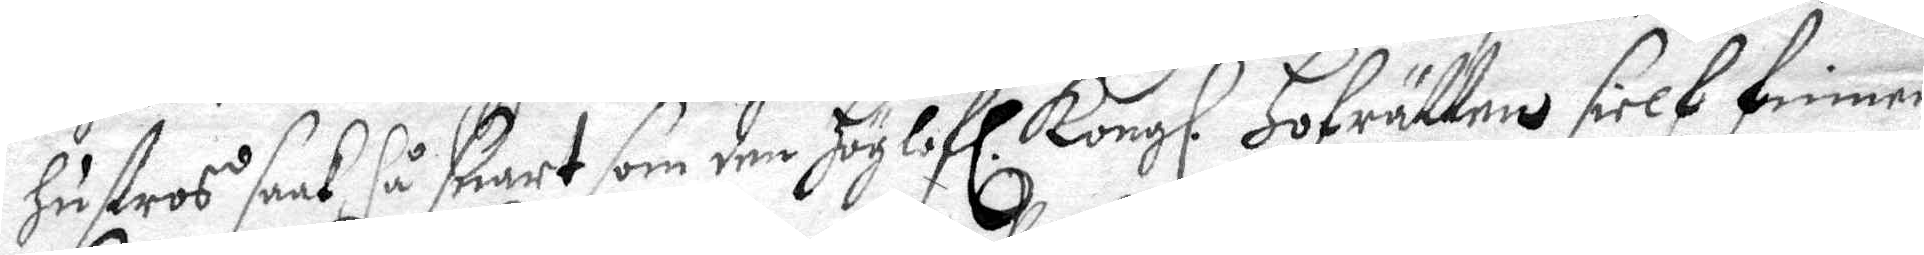hustos saak så snart som den Höglofl. Kongl. Hofrätten sielf finner
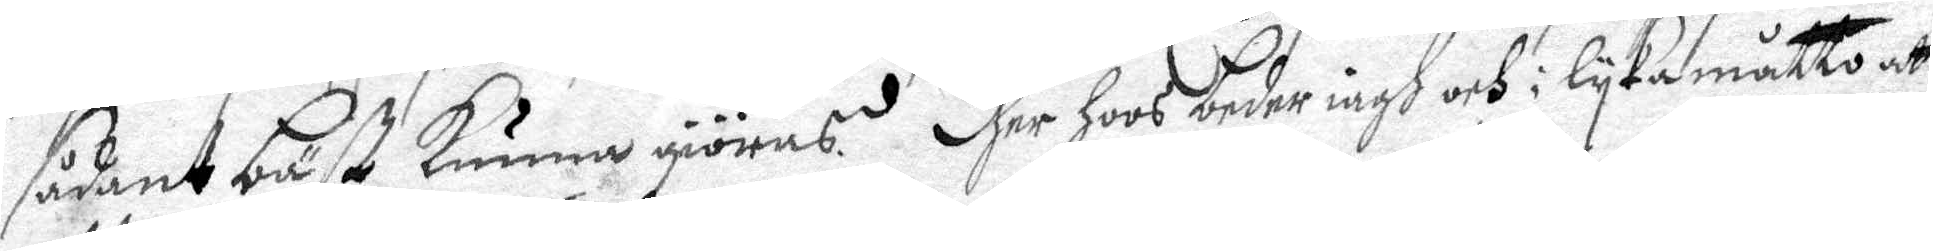sådant bäst kunna giöras. Dher hoos beder iagh och i lyka måtto att
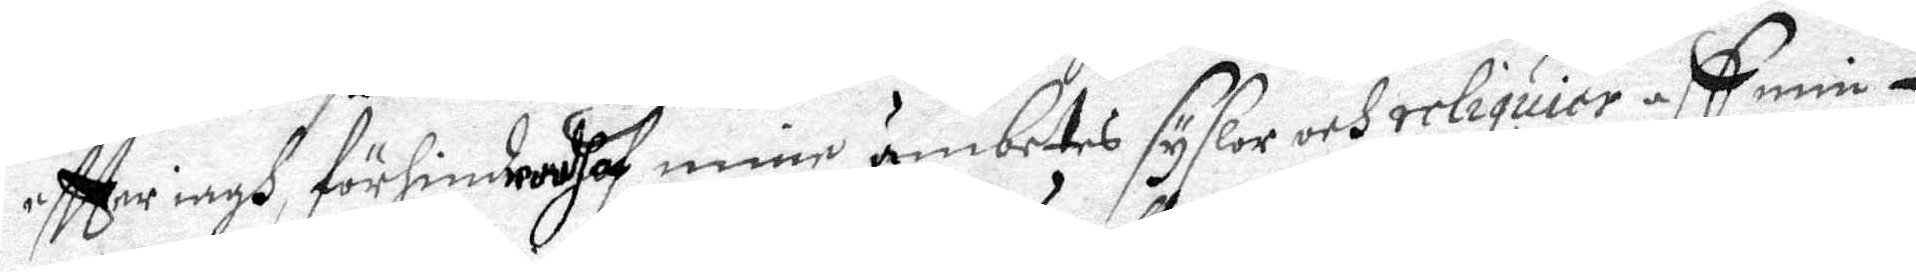eftter iagh förhindradh af mine ämbetes syslor och reliquier aff min
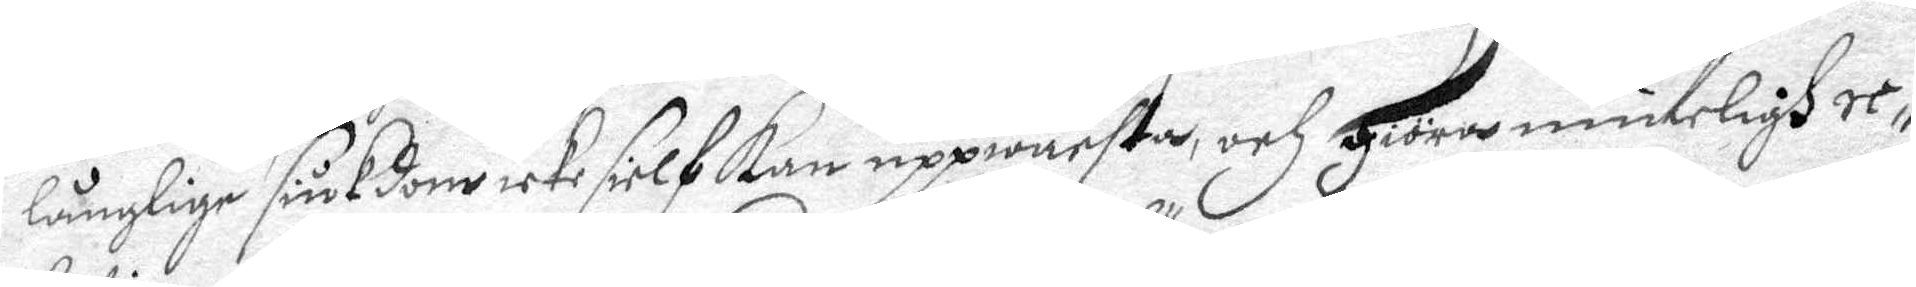långlige siukdom icke sielf kan uppwachta, och giöra munteligh re¬
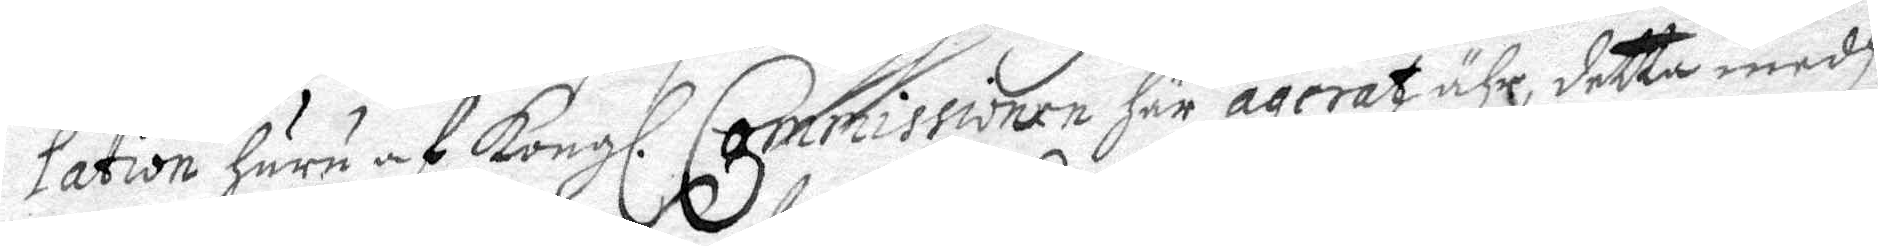lation huru af Kongl. Commissionen här agerat ähr, detta medh
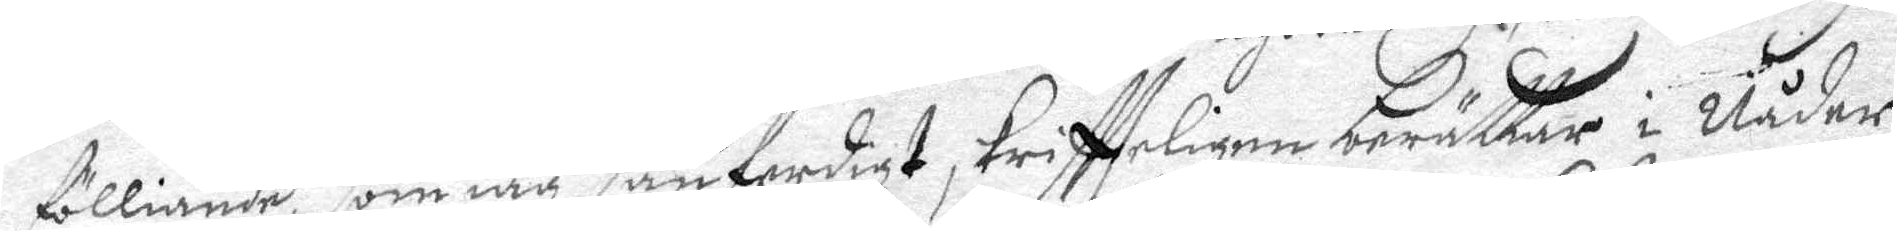fölliande, som iag sanferdigt skriftteligen berättar i Nåder
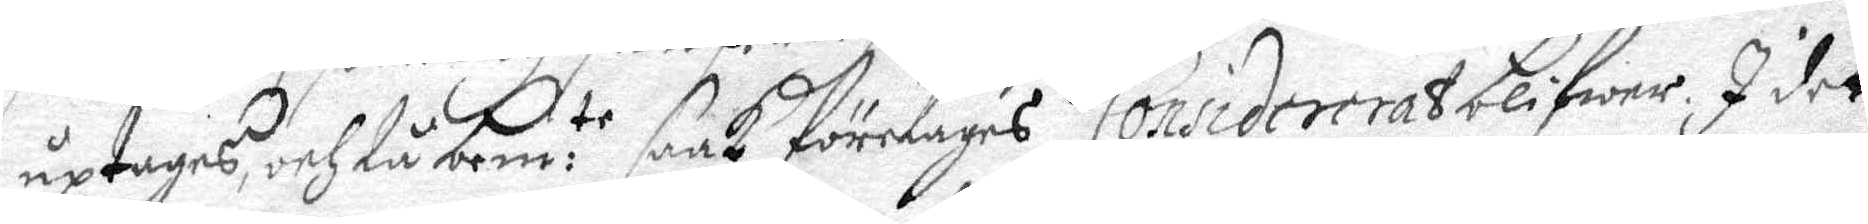uptages, och tå bem:te saak företagas Considereras blifwer. I det
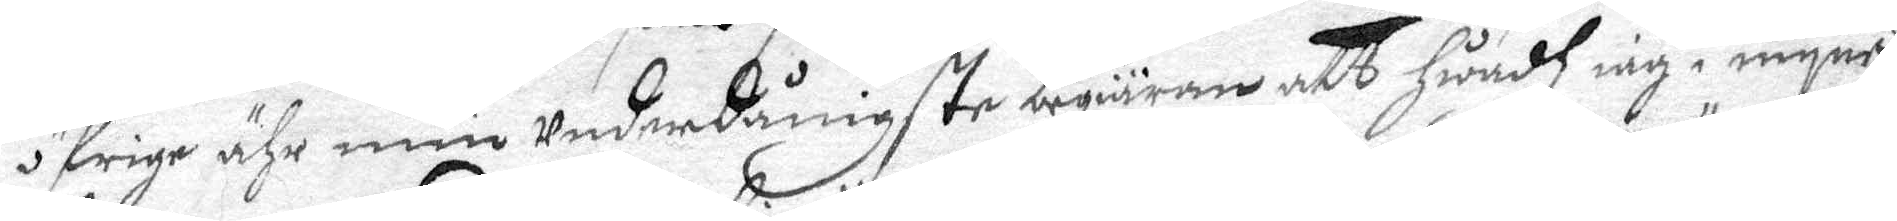öfrige ähr min underdånigste begiäran att hwadh iag i myne
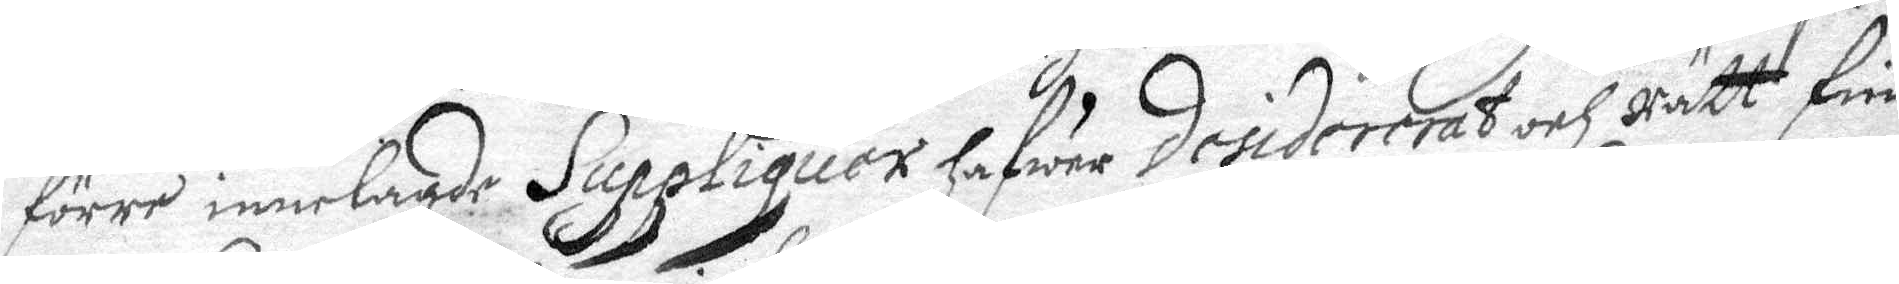förre innelagde Suppliquer hafwer disidererat och rätt fin¬
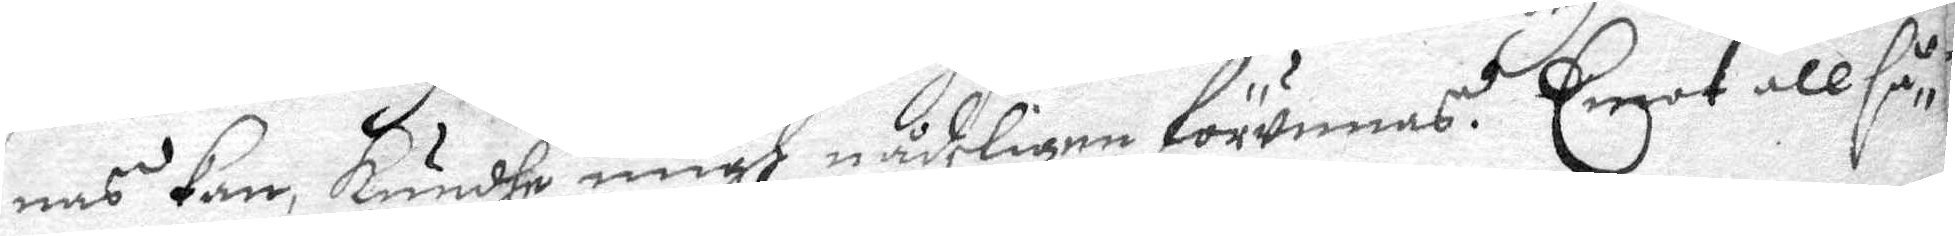nas kan, kundhe migh nådeligen förunnas. Emot all så¬
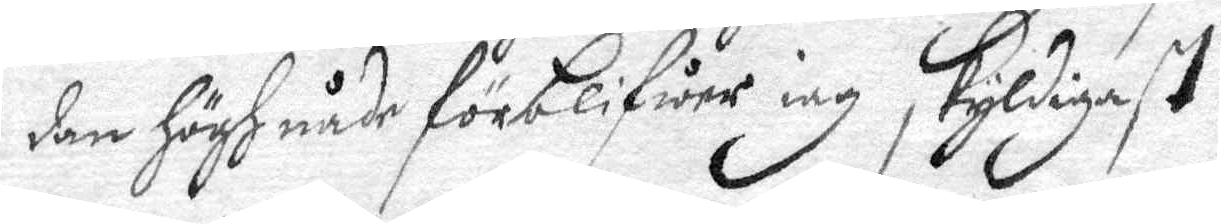dan Högh nåde förblifwer iag skyldiast
